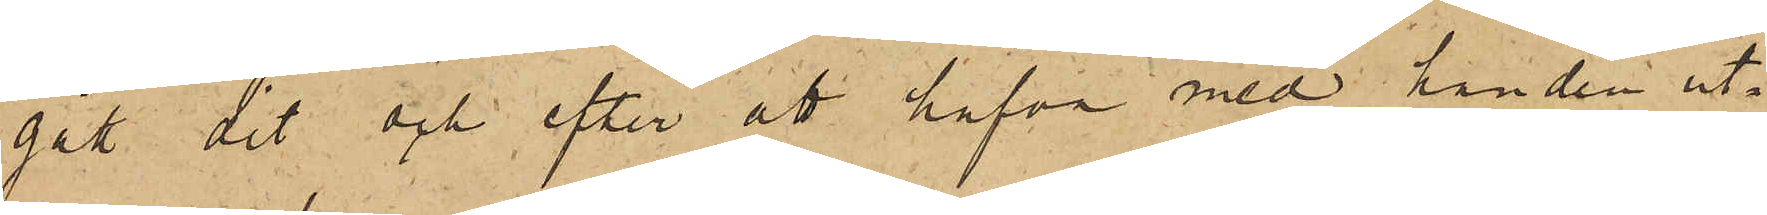gått dit och efter att hafva med handen ut¬
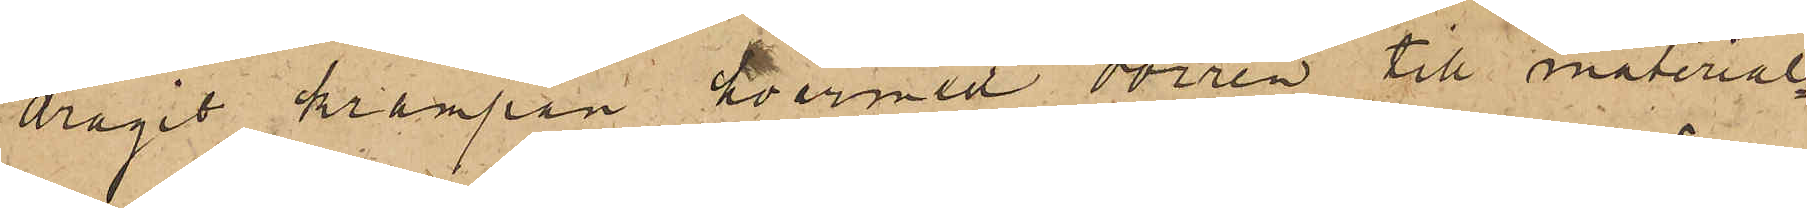dragit krampan hvarmed dörren till material¬
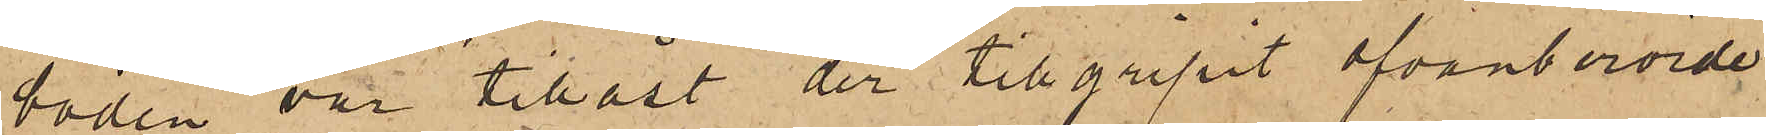boden var tillåst der tillgripit ofvanberörde
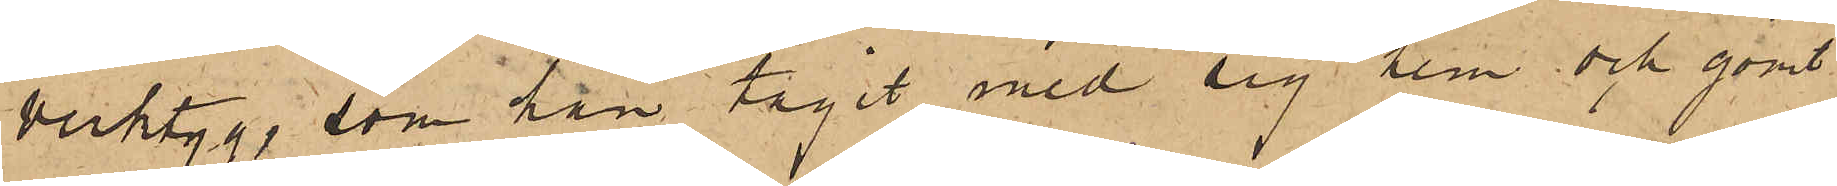verktyg, som han tagit med sig hem och gömt
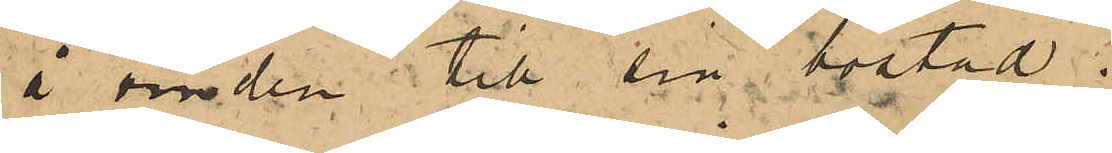å vinden till sin bostad;
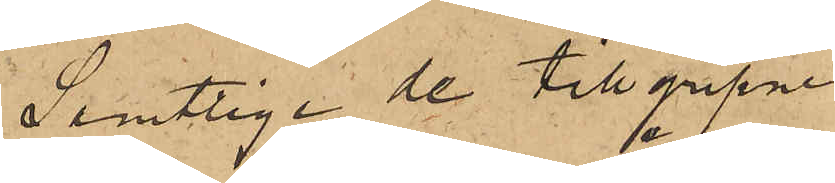Samtlige de tillgripne
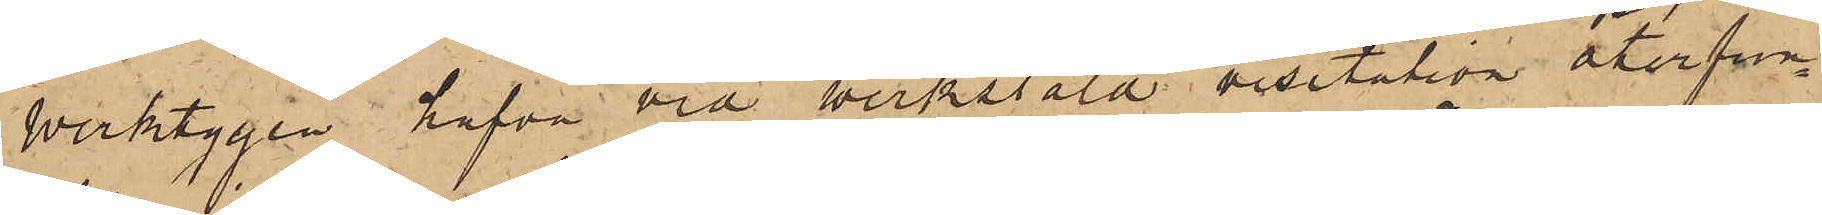verktygen hafva vid verkstäld visitation återfun¬
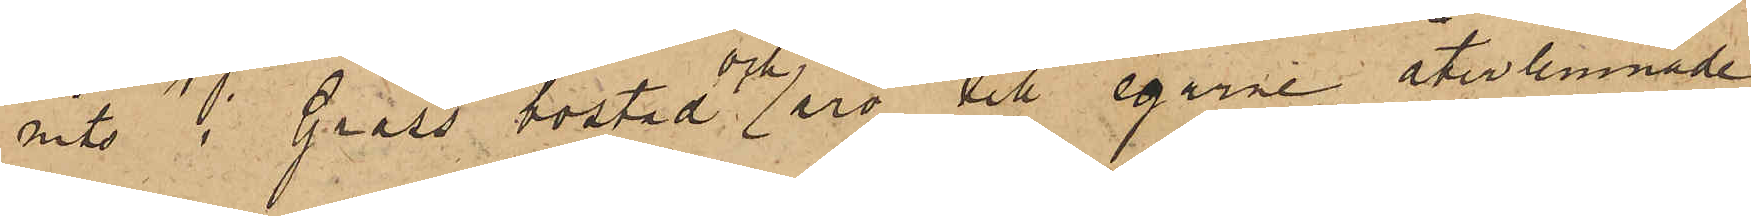nits i Grass bostad och äro till egarne återlemnade
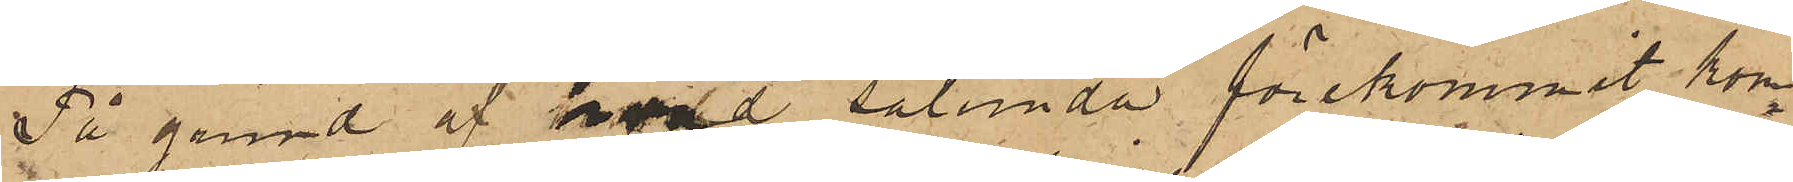På grund af hvad sålunda förekommit kom¬
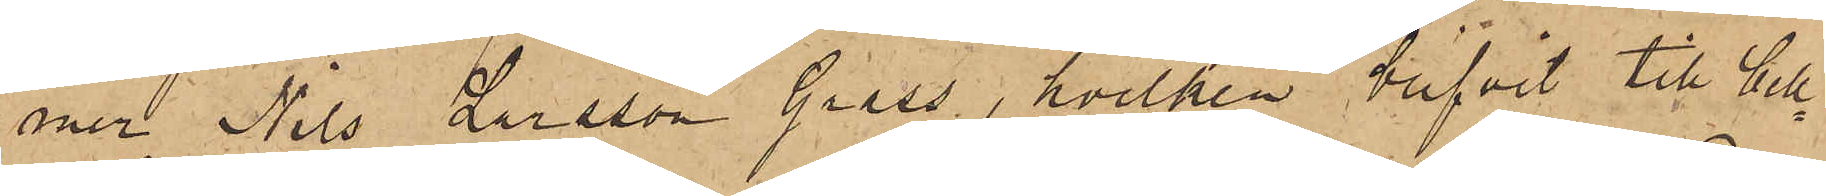mer Nils Larsson Grass, hvilken blifvit till Cell¬
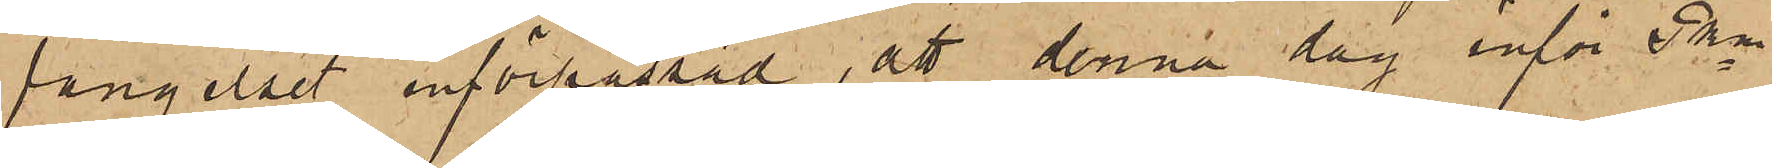fängelset införpassad, att denna dag inför Pkn
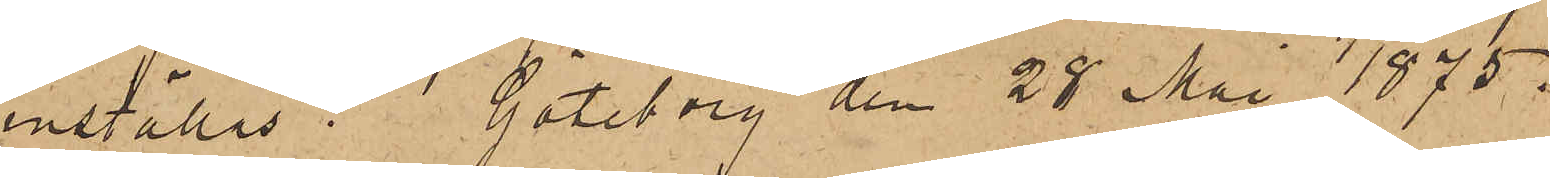inställas. Göteborg den 28 Maj 1875.
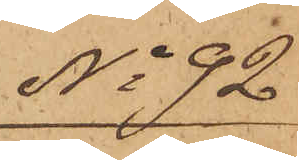No 92
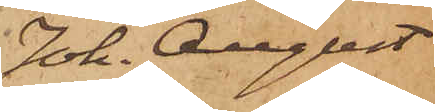Joh. August
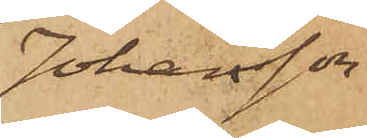Johansson
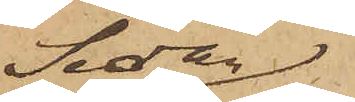Sedan
